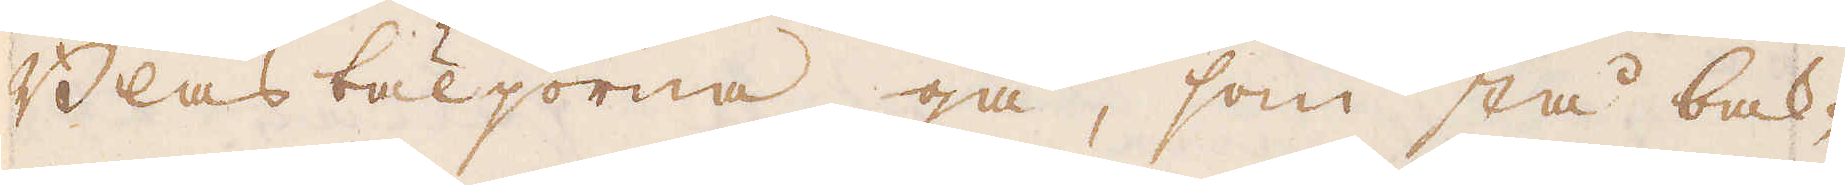Blåsbäljorna gå, som stå bak-
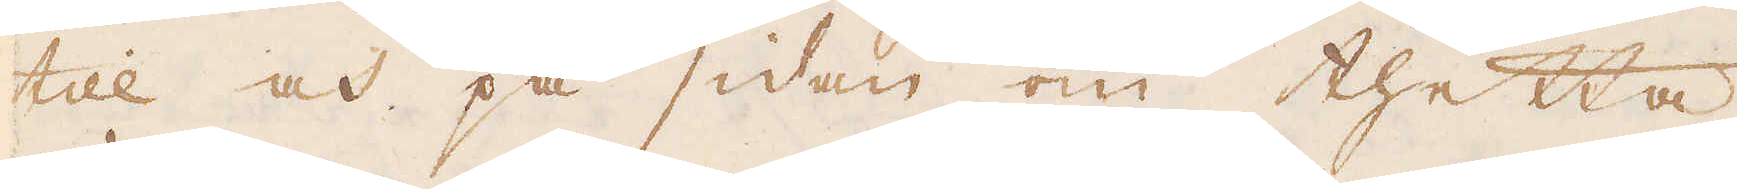till och på sidan om thetta
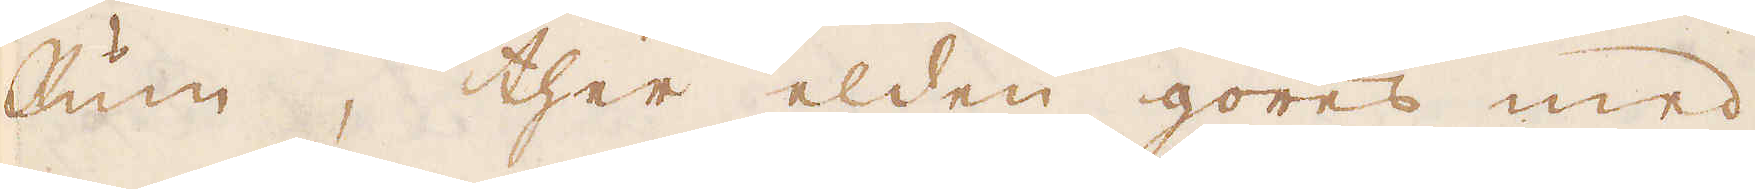Rum, ther elden göres med
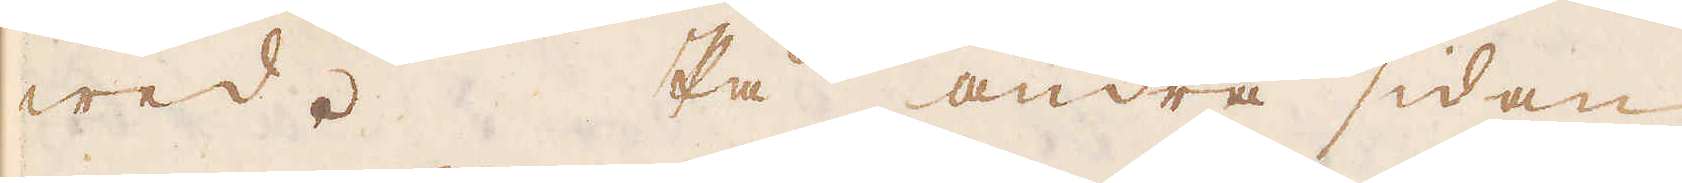wed. På andra sidan
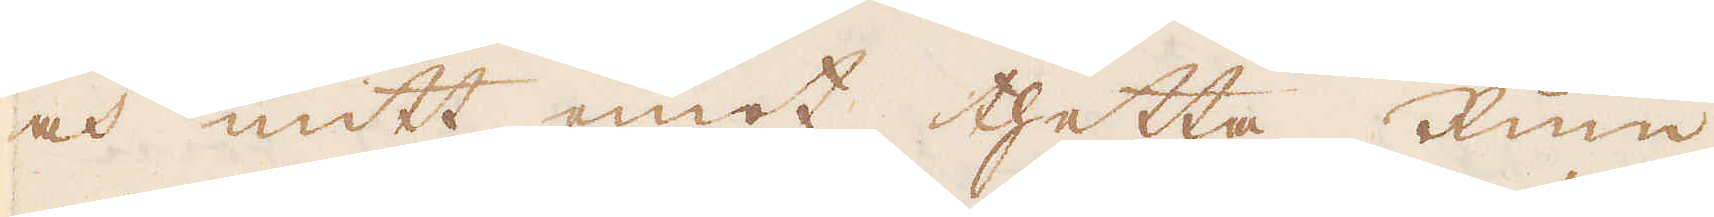och mitt emot thetta Rum
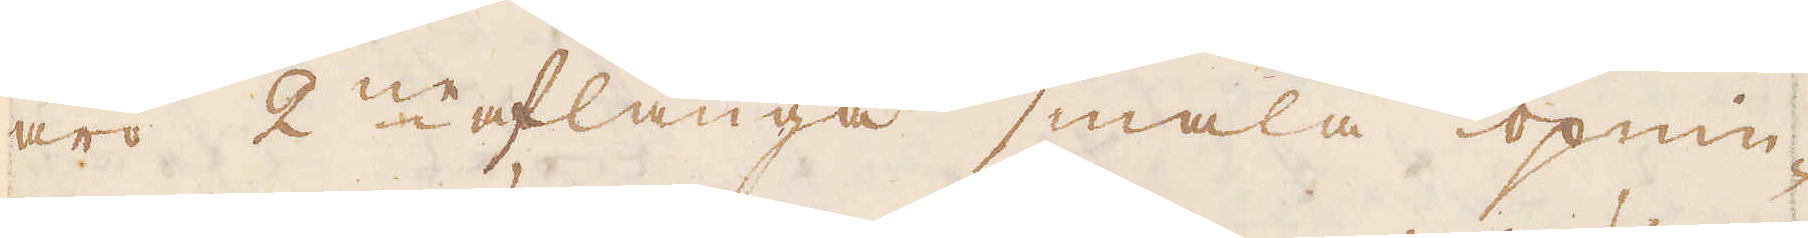äro 2ne aflånga smala öpnin-
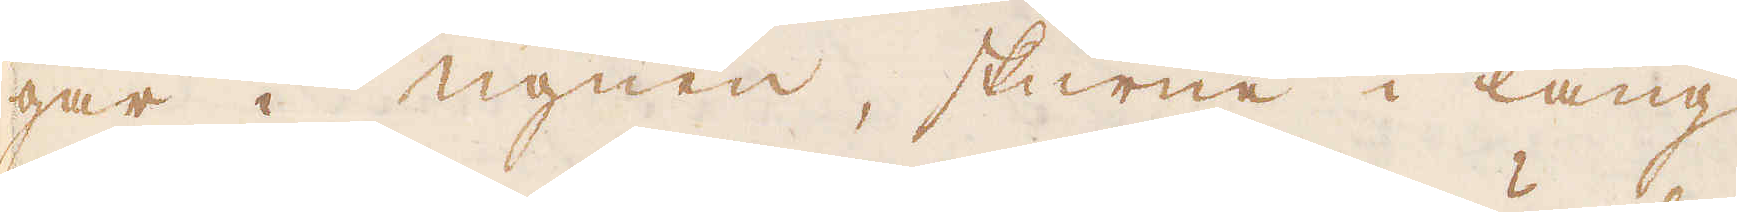gar i ugnen, skurne i läng-
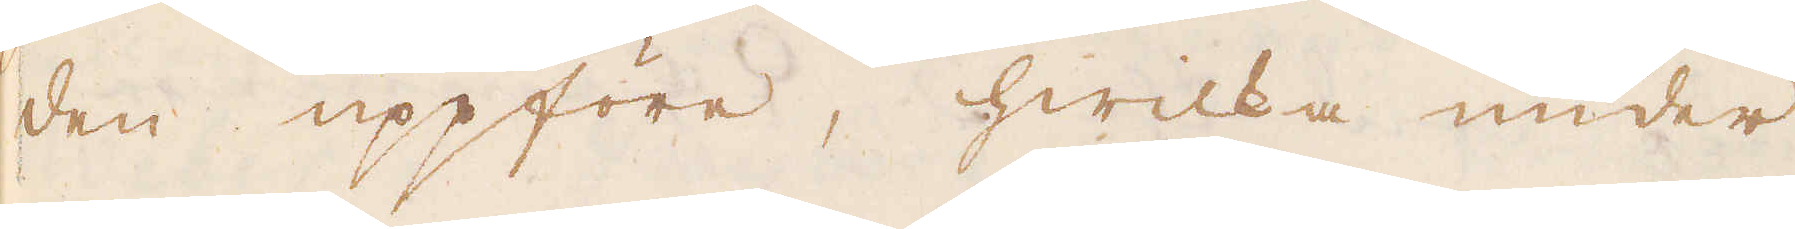den uppföre, hwilka under
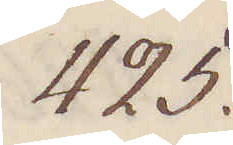425.
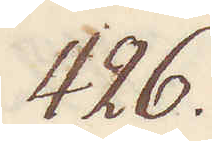426.
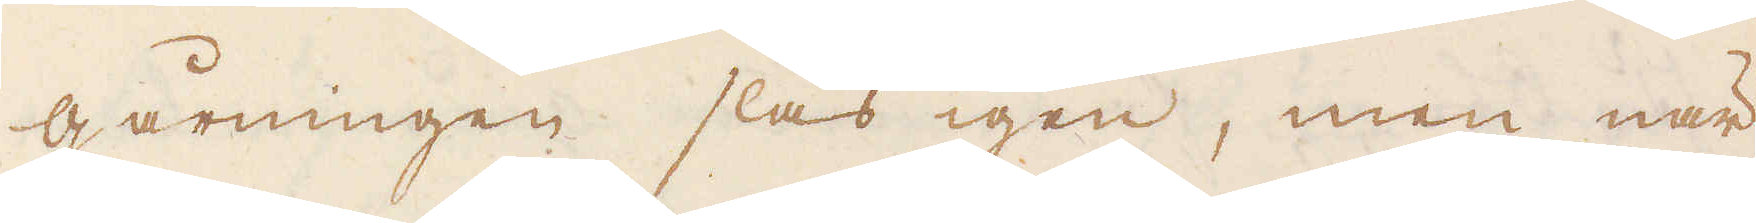gårningen slås igen, men när
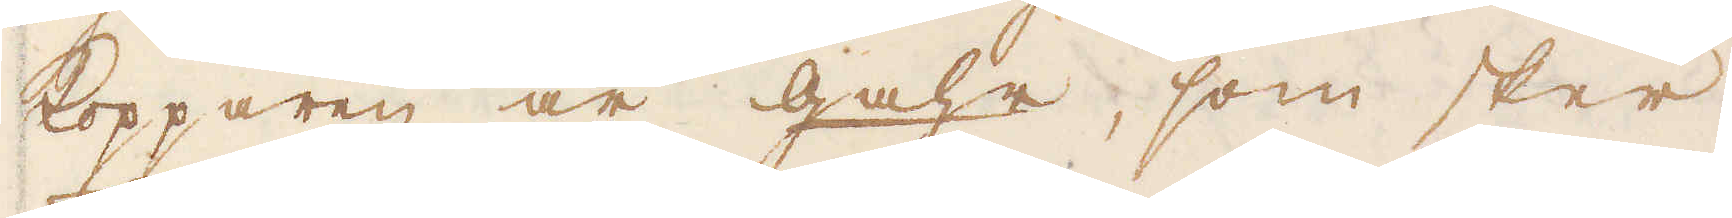kopparen är gahr, som sker
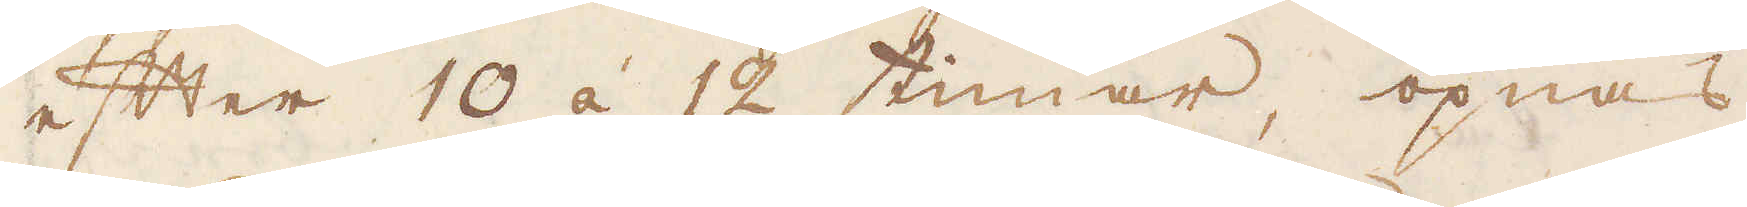efter 10 á 12 timar, öpnas
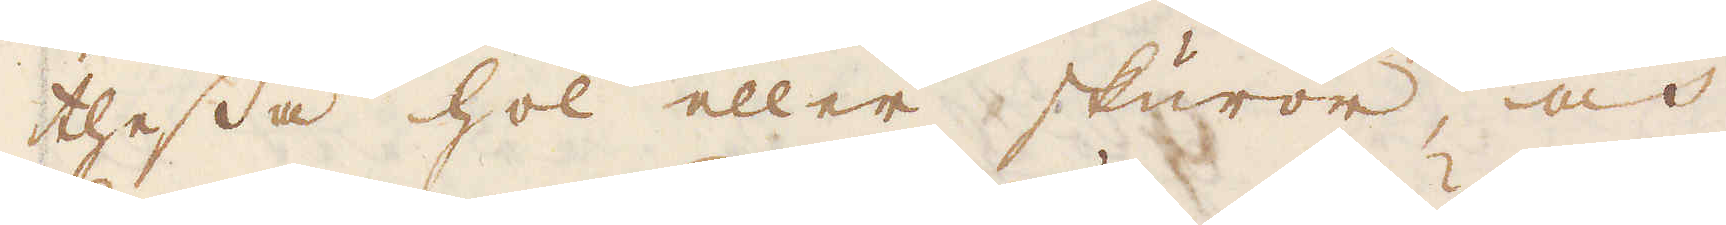thessa hol eller skuror, och
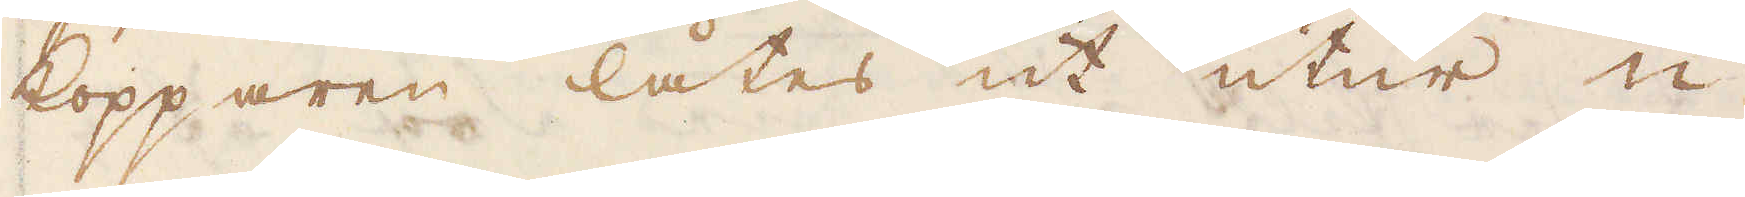kopparen låtes ut utur u-
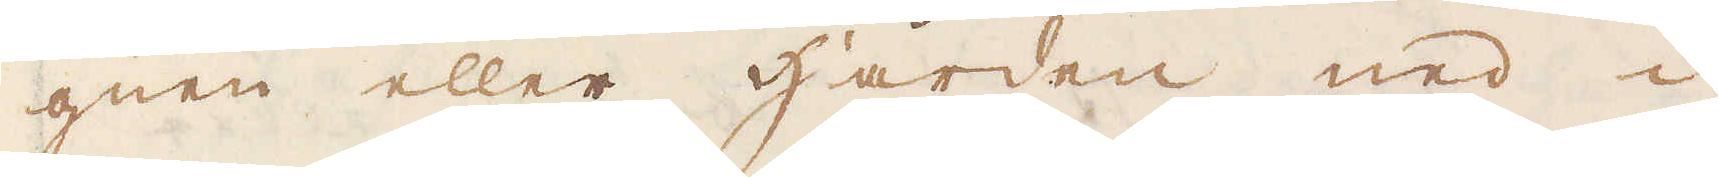gnen eller härden ned i
